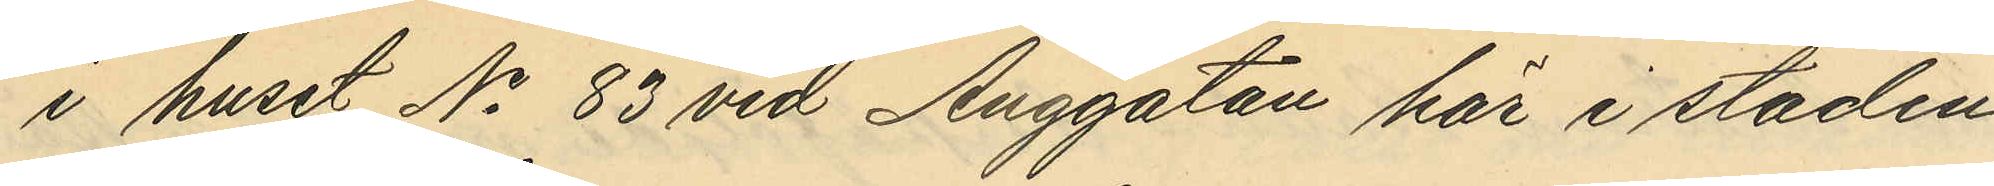i huset No 83 vid Änggatan här i staden
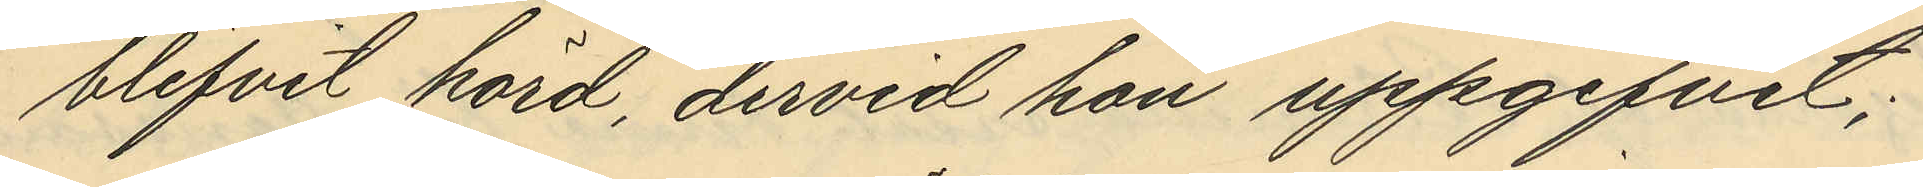blifvit hörd, dervid hon uppgifvit;
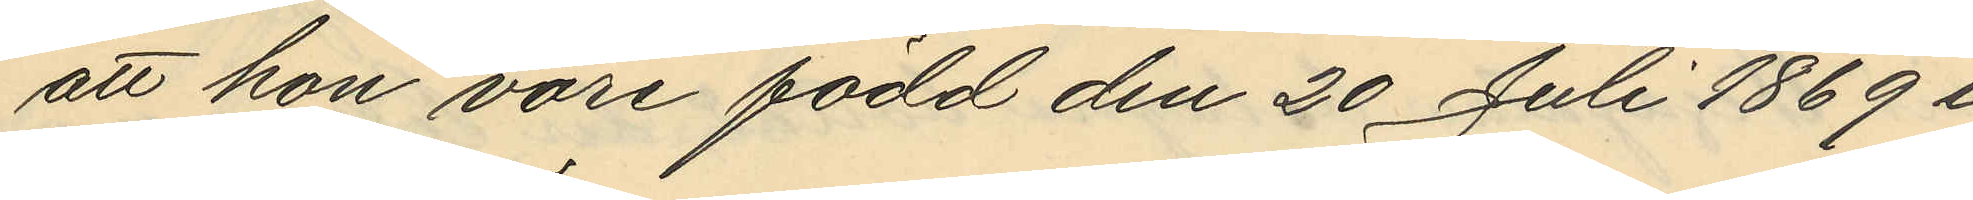att hon vore född den 20 Juli 1869 i
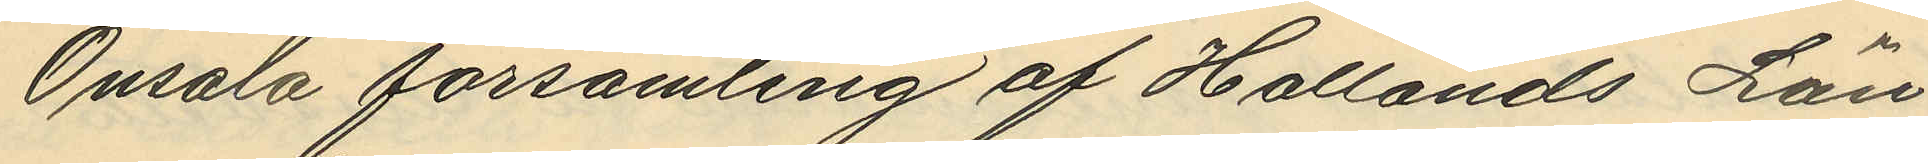Onsala församling af Hallands Län
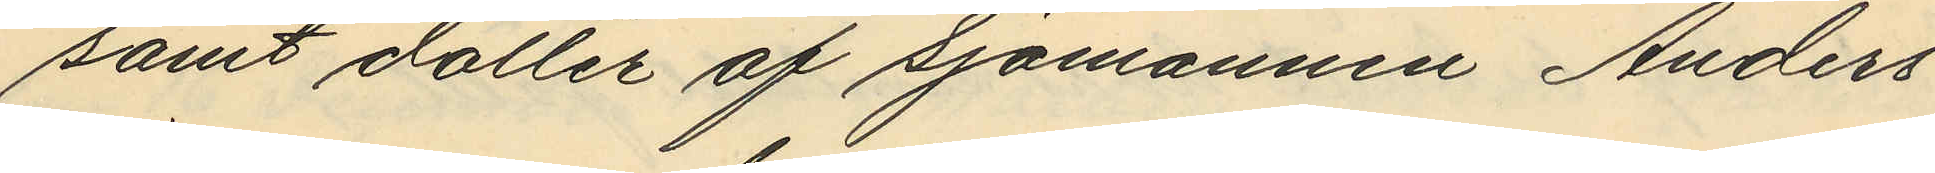samt dotter af Sjömannen Anders
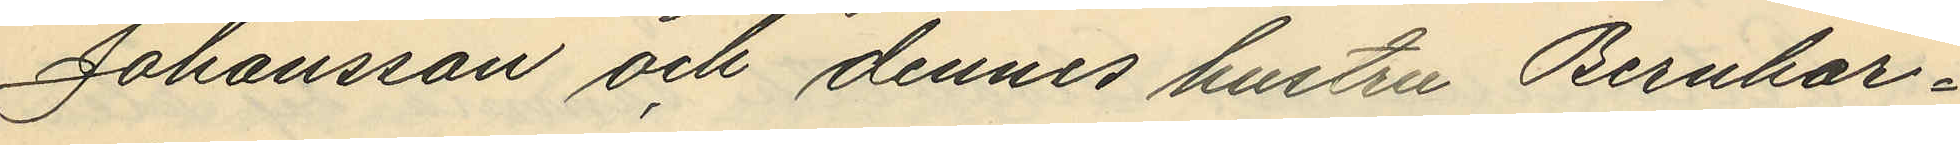Johansson och dennes hustru Bernhar¬
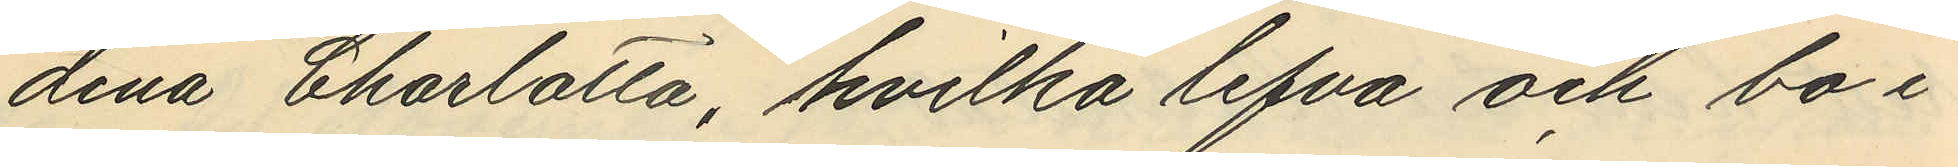dina Charlotta, hvilka lefva och bo i
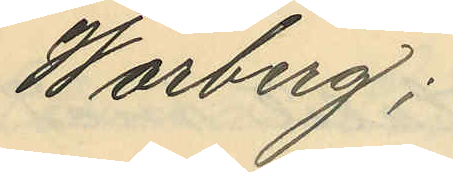Warberg;
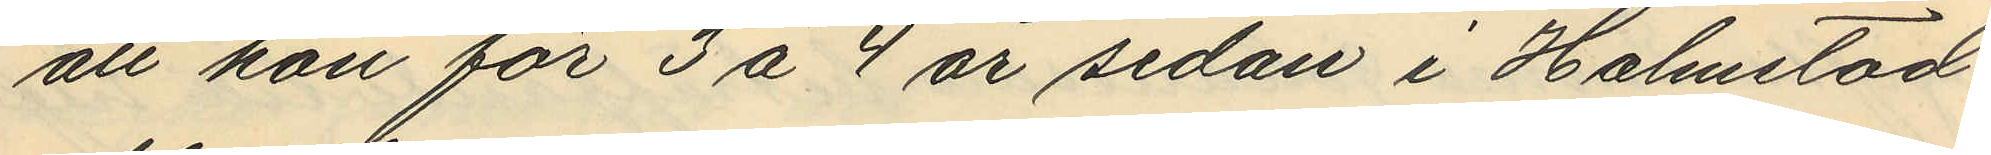att hon för 3 á 4 år sedan i Halmstad
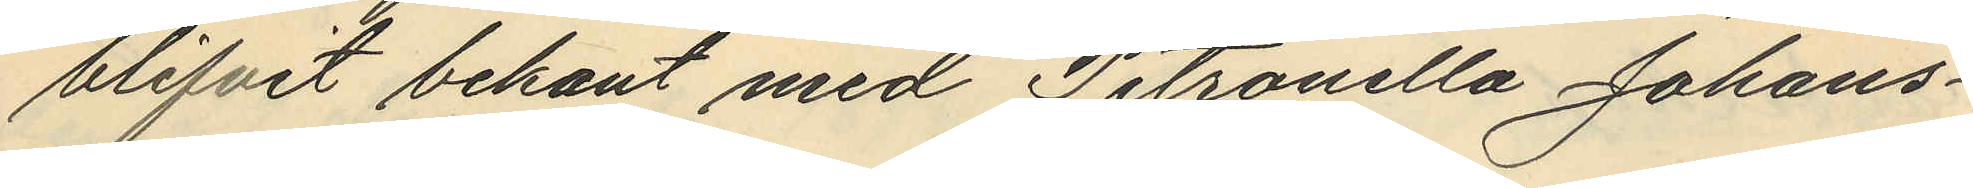blifvit bekant med Petronella Johans¬
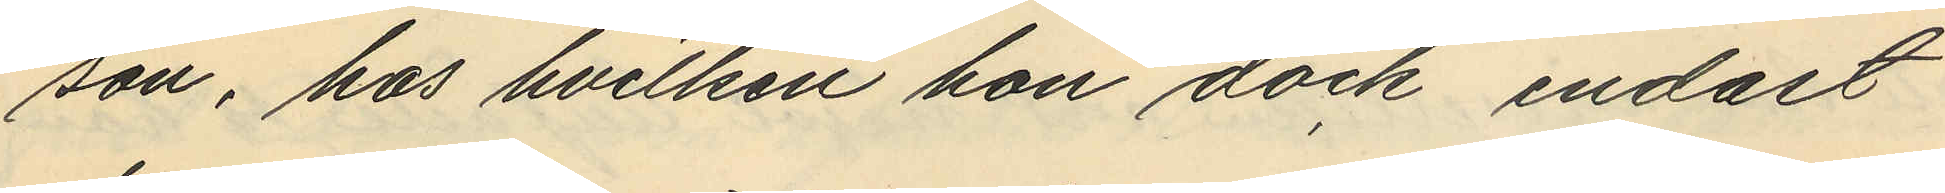son, hos hvilken hon dock endast
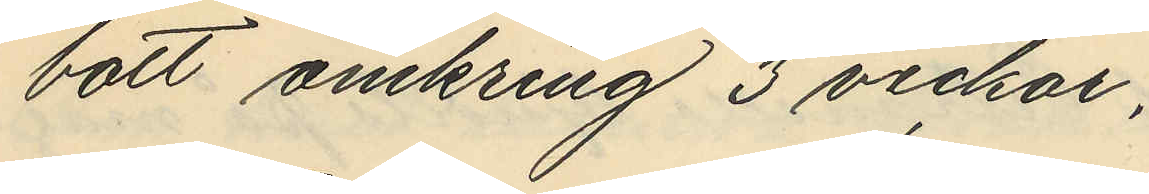bott omkring 3 veckor,
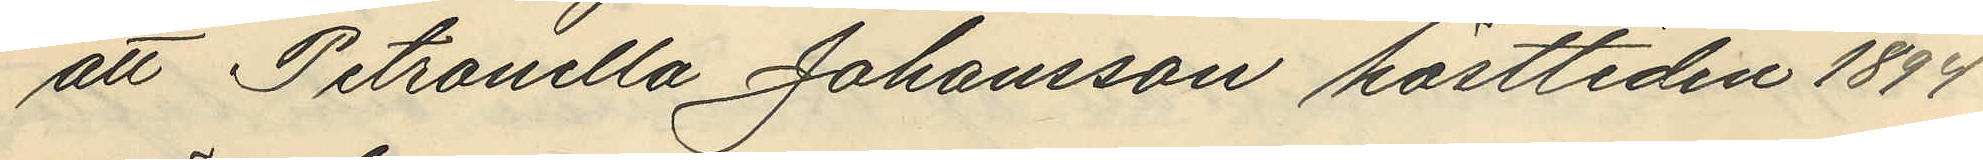att Petronella Johansson höstetiden 1894
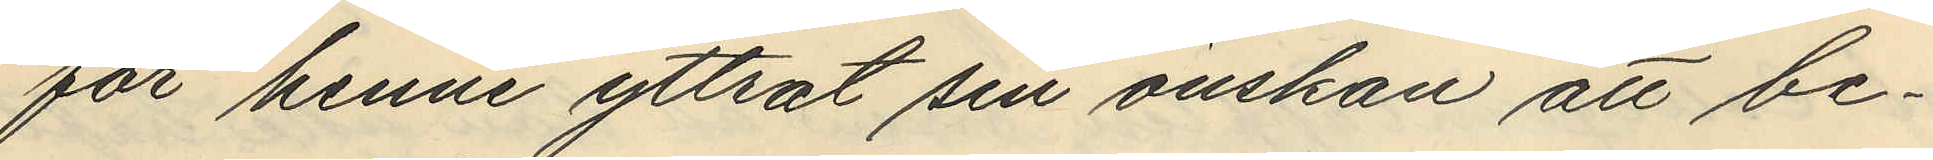för henne yttrat sin önskan att be¬
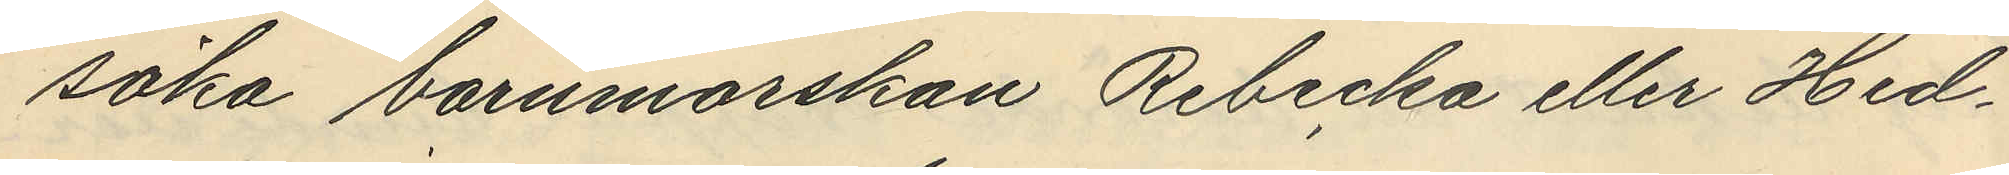söka barnmorskan Rebecka eller Hed¬
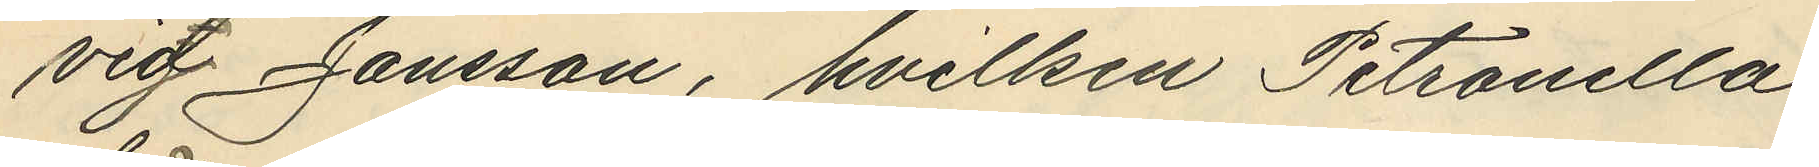vig Jansson, hvilken Petronella
